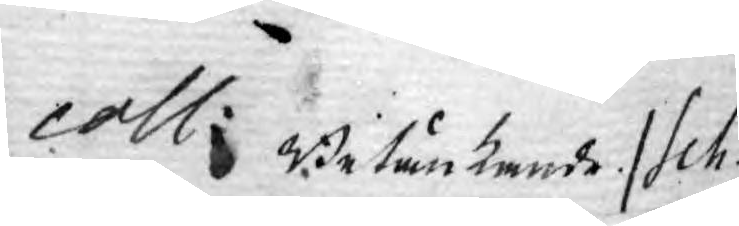coll: Betänkande /Sch./
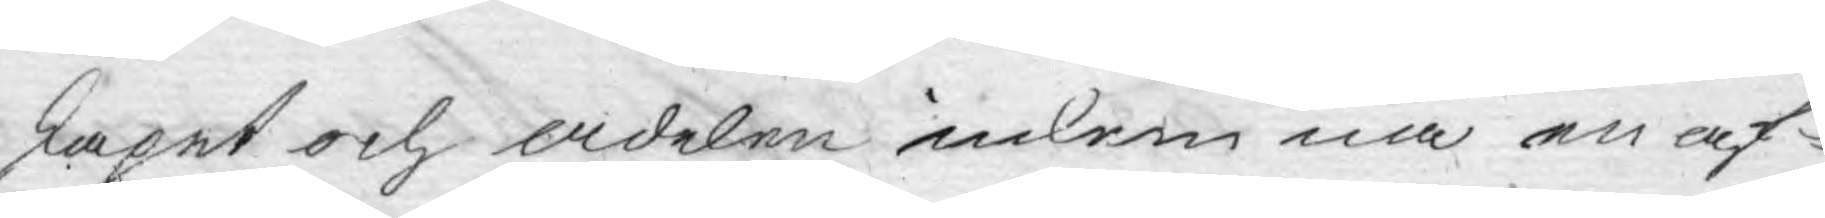skapet och Adelen inkomna en af¬
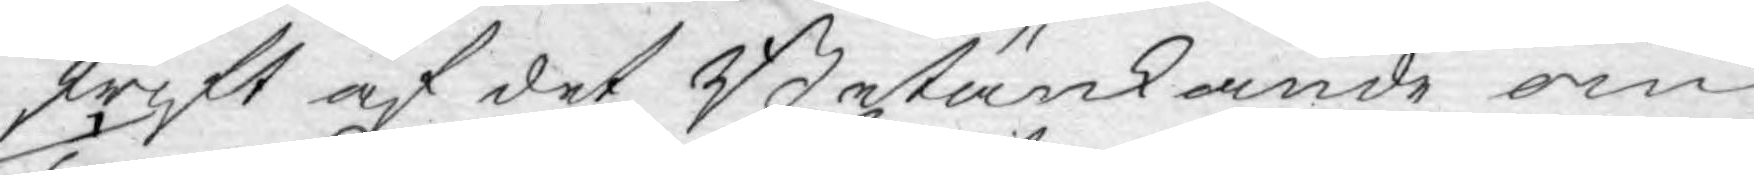skrift af det Betänkande om
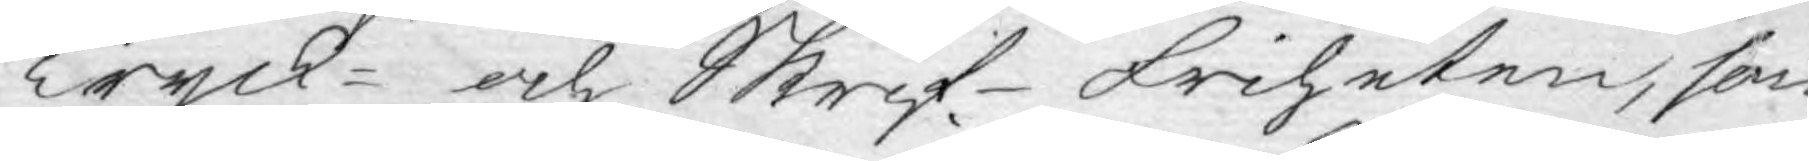Tryck- och Skrif-friheten, som
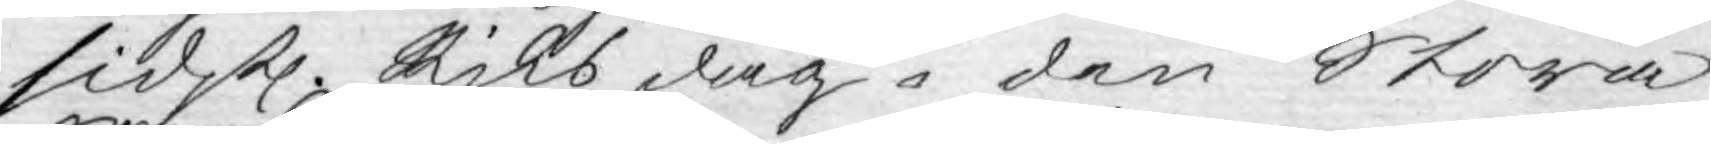sidstl. Riksdag i den Stora
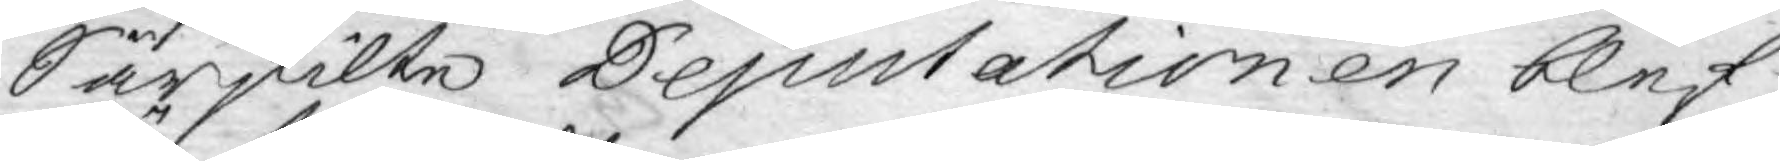Särskilte Deputationen blef
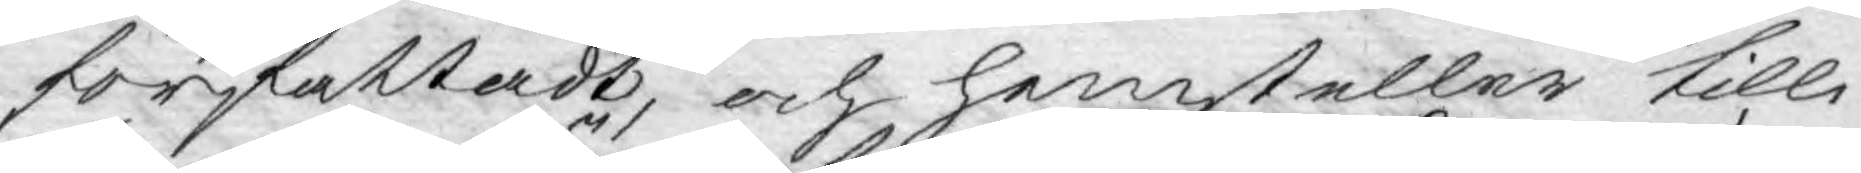författadt, och hemsteller tilli¬
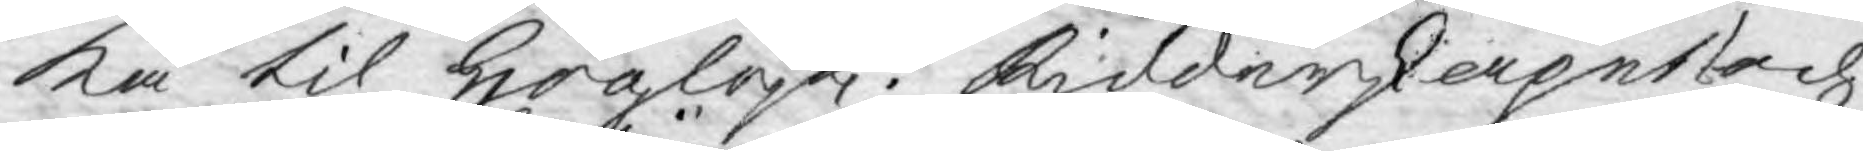ka til Höglofl. Ridderskapet och
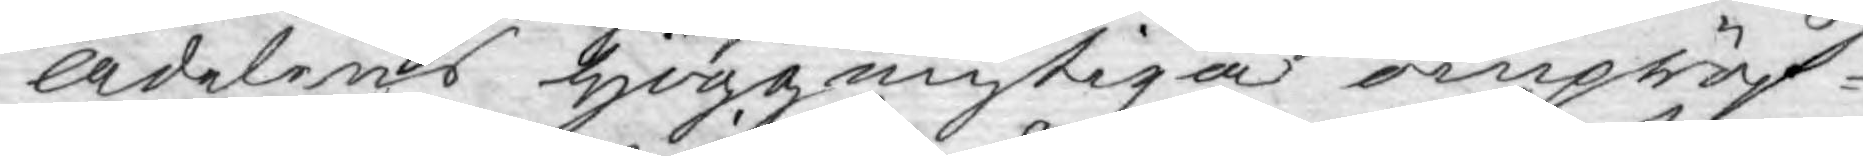Adelens höggunstiga ompröf¬
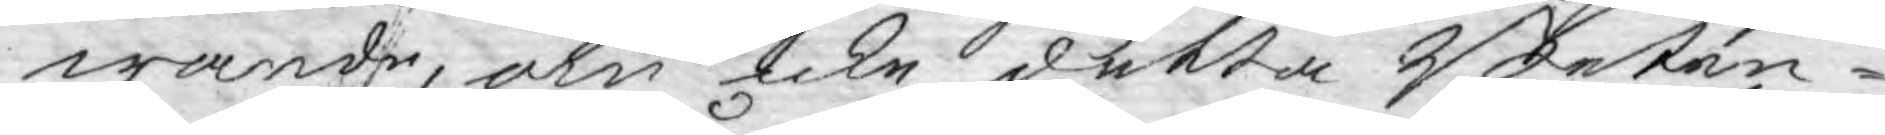wande, om icke detta Beten¬
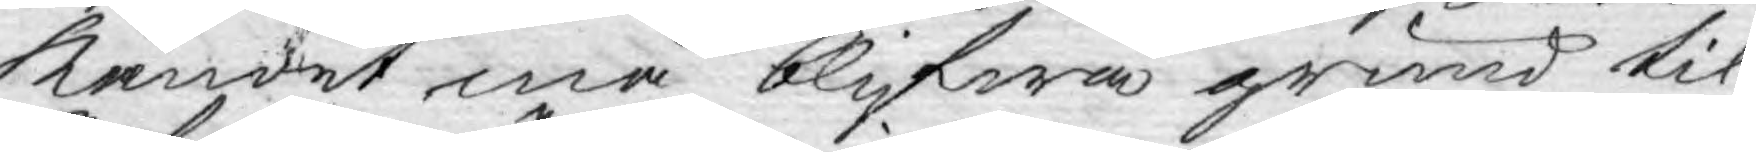kandet må blifwa grund til
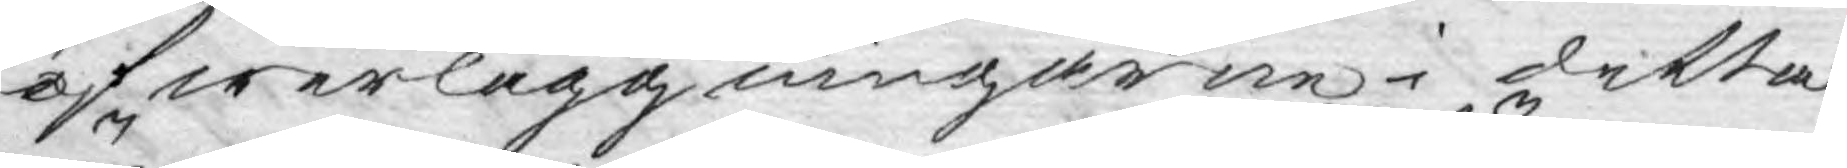öfwerläggningarne i detta
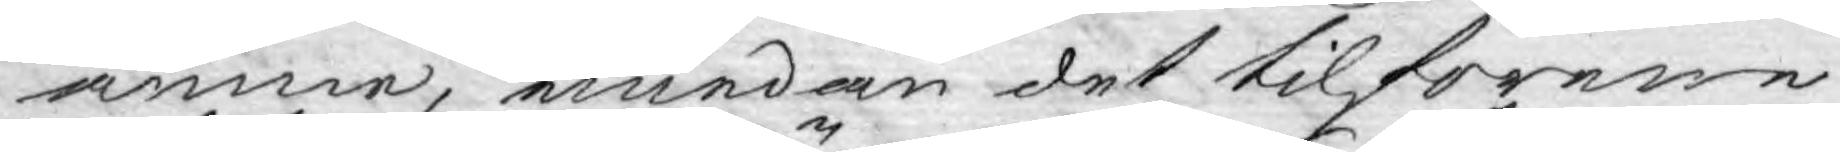ämne, emedan det tilförene
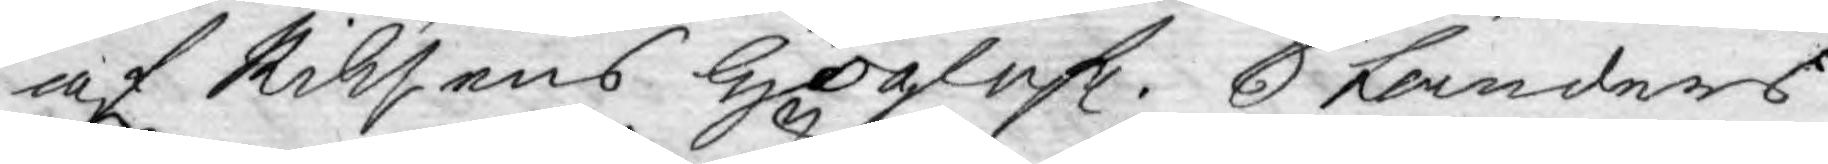af Riksens Höglofl. Ständers
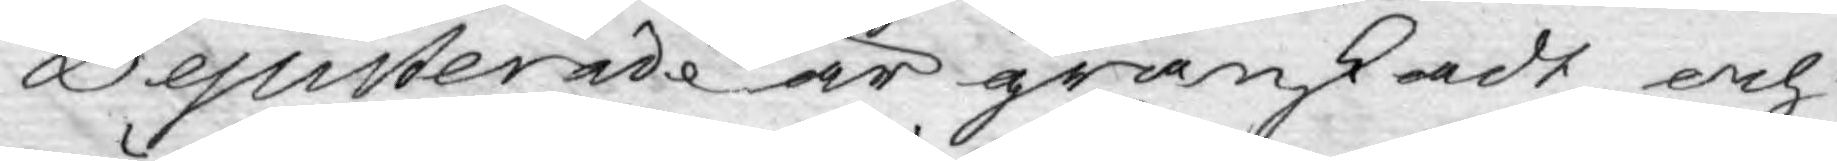Deputerade är granskadt och
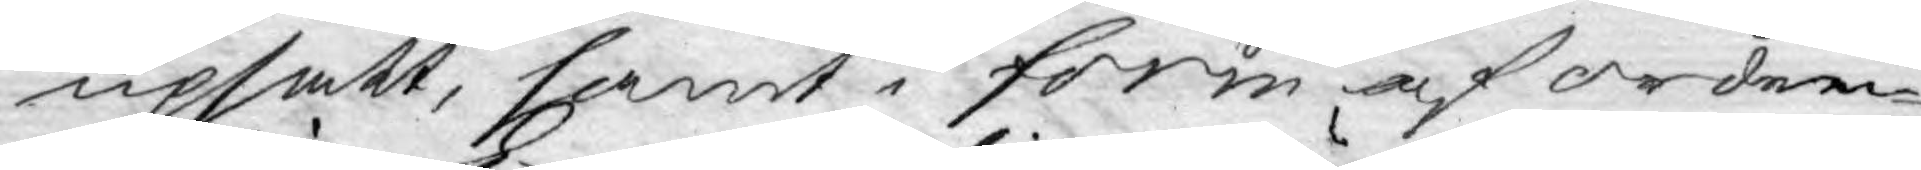upsatt, samt i form af orden¬
